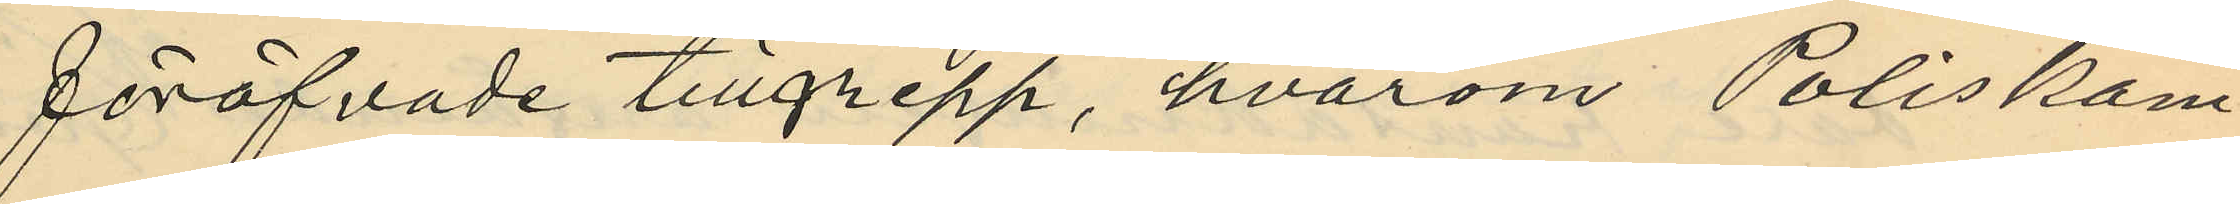föröfvade tillgrepp, hvarom Poliskam¬
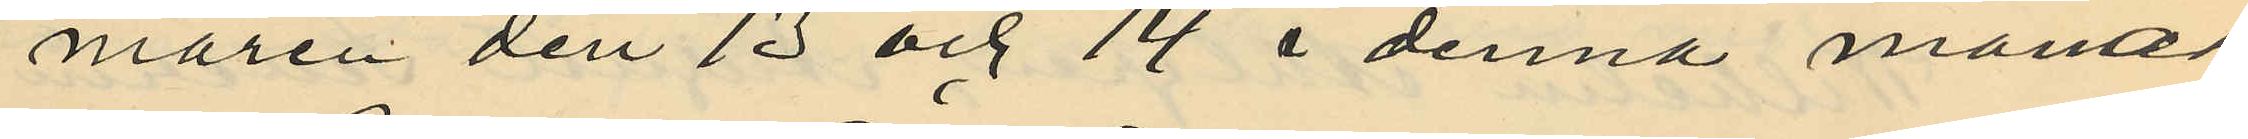maren den 13 och 14 i denna månad
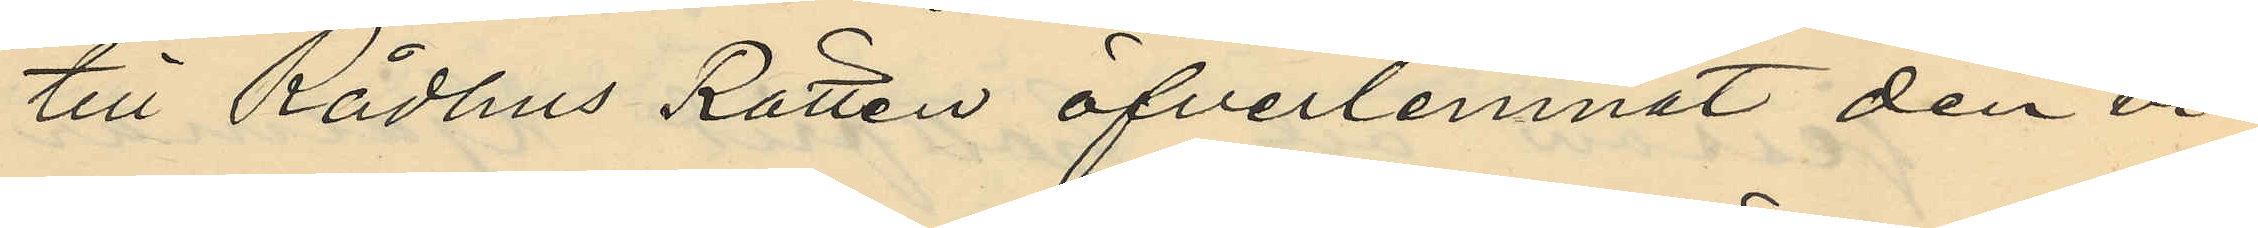till Rådhus Rätten öfverlemnat den vi¬
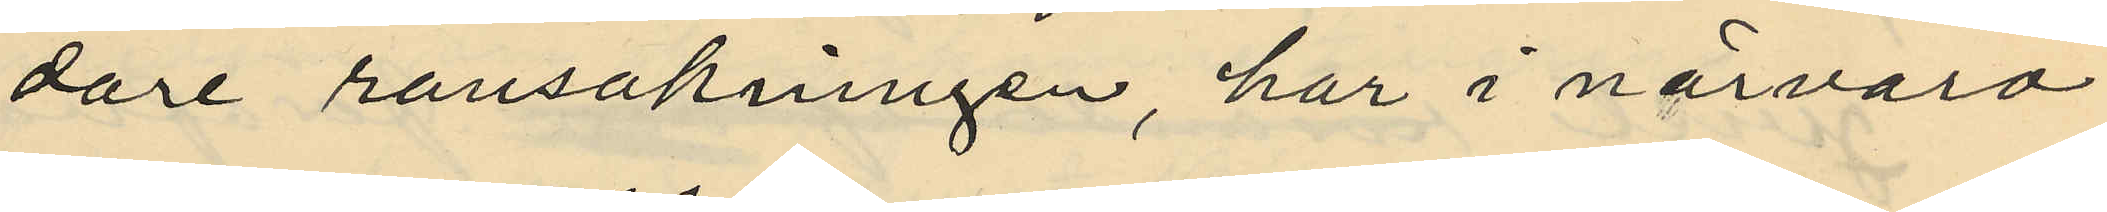dare ransakningen, här i närvaro
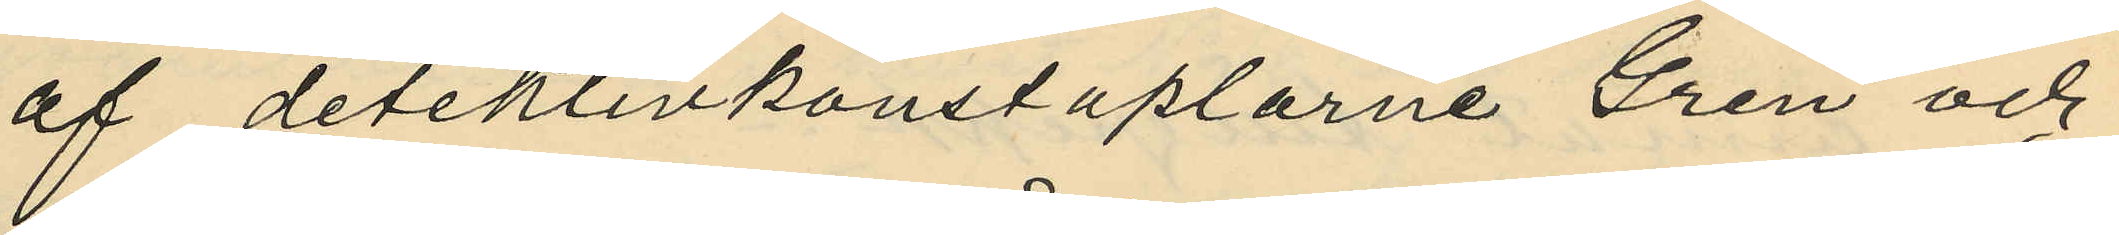af detektivkonstaplarne Gren och
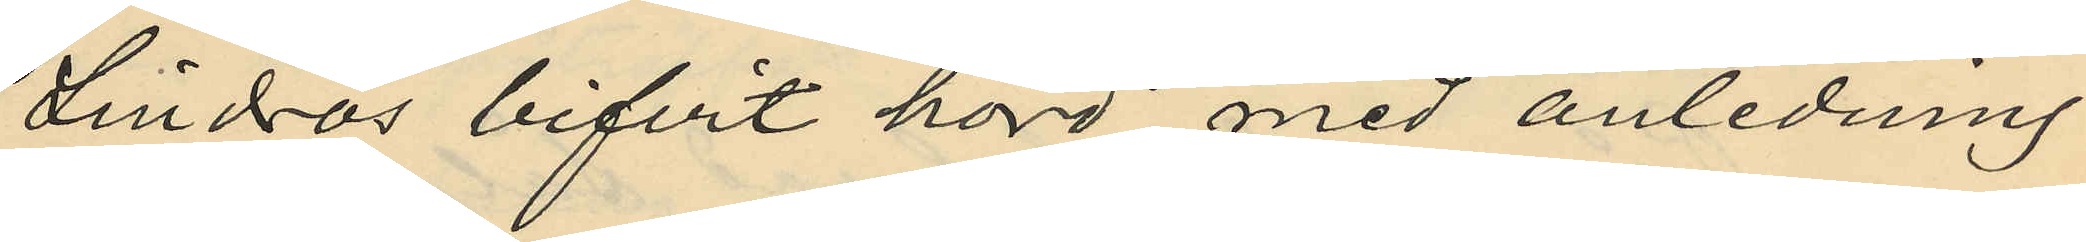Lindros bifvit hörd med anledning
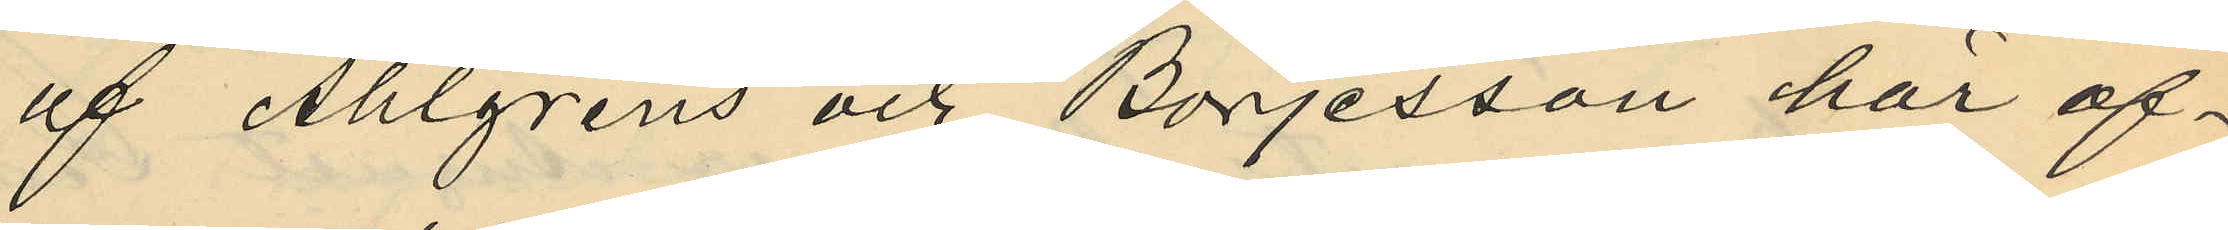af Ahlgrens och Börjesson har of¬
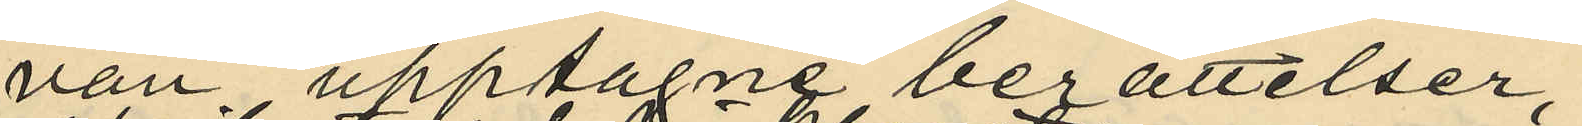van upptagne berättelser,
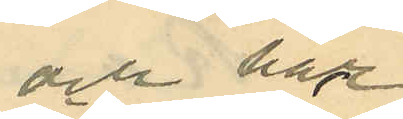och har
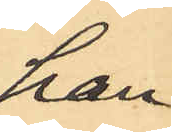han
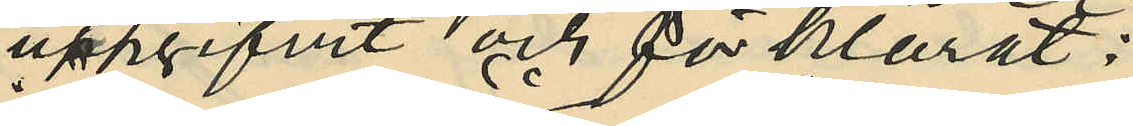uppgifvit och förklarat:
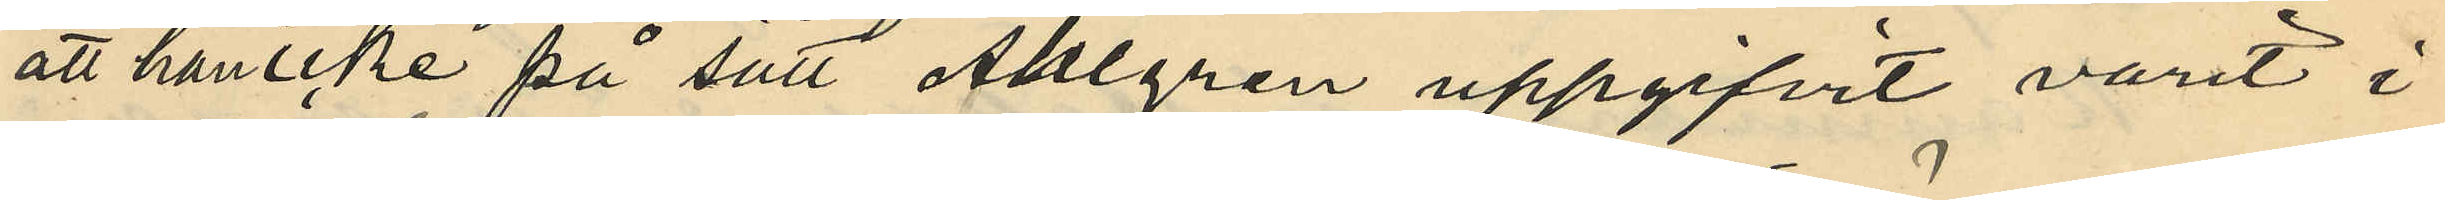att han icke på sätt Ahlgren uppgifvit varit i
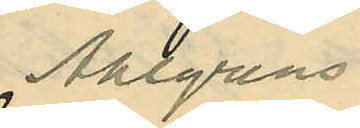Ahlgrens
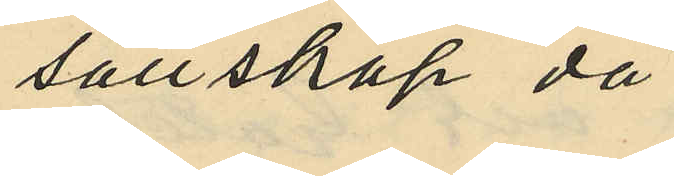sällskap då
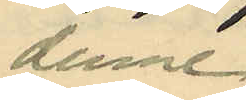denne
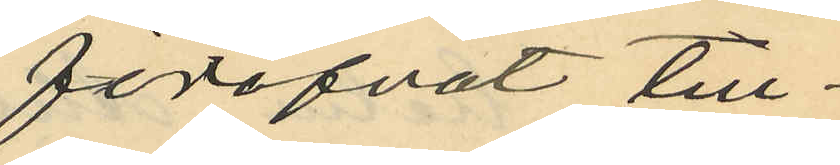föröfvat till¬
